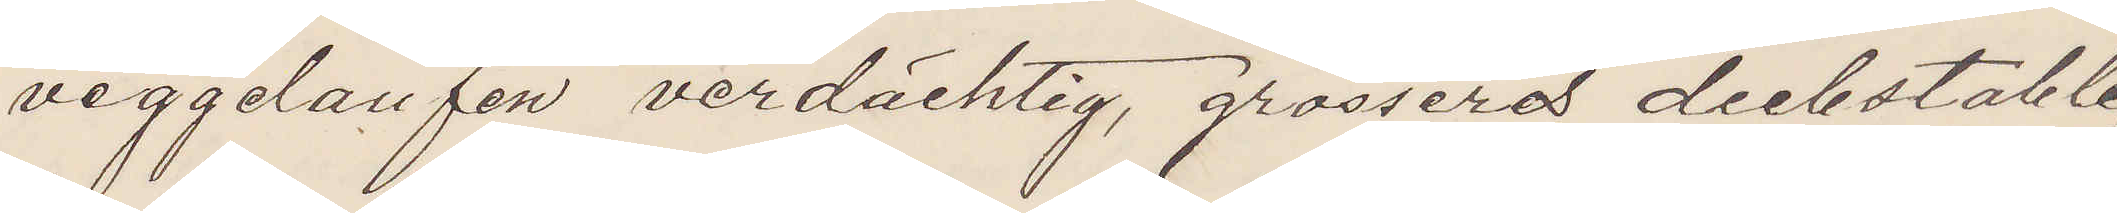veggelaufen verdächtig, grosseres diebstable,
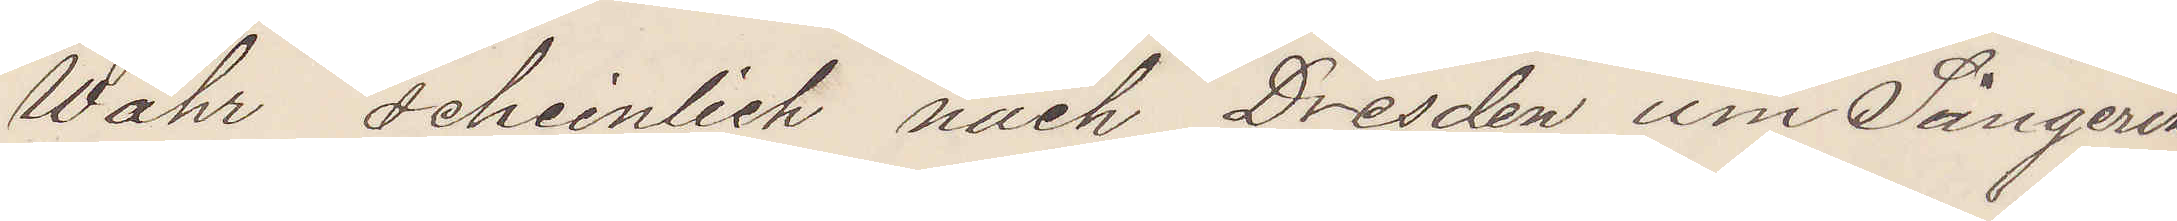Wahr scheinlich nach Dresden um Sängerin
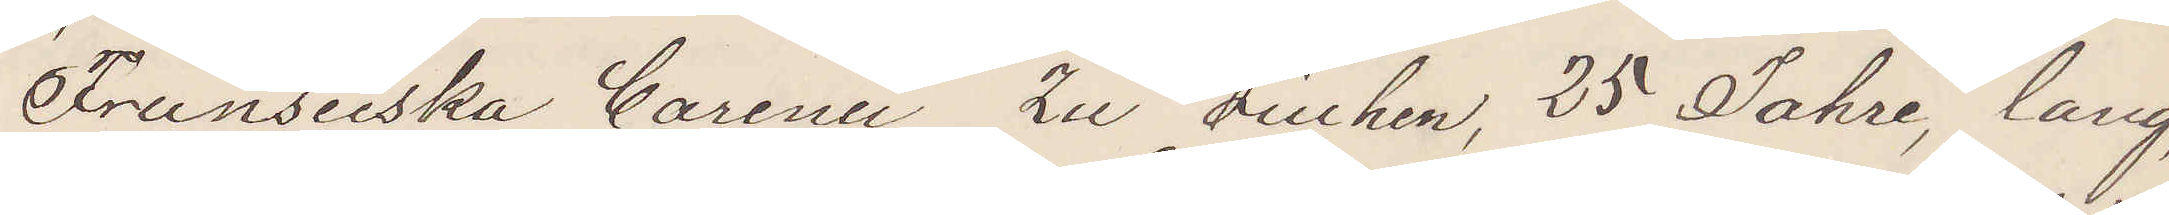"Fransieska Carina" zu siechen, 25 Jahre, lang,
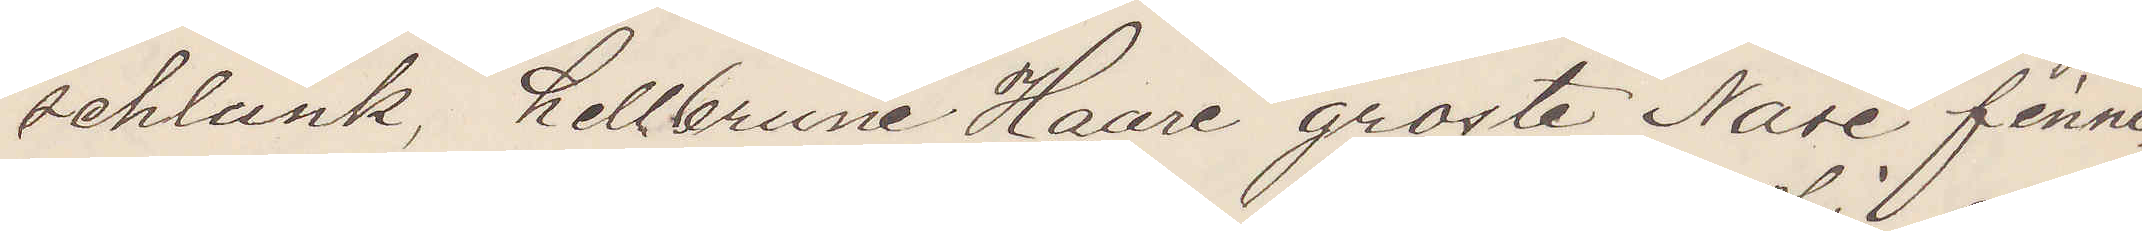schlank, hellbrune Haare groste Nase finni¬
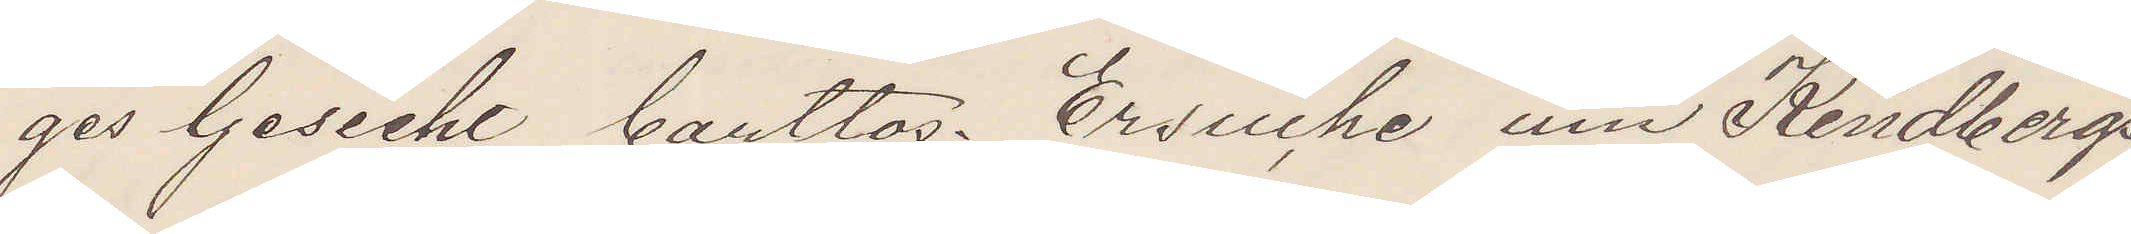ges Gesicht bartlos. Ersuche um Kindbergs
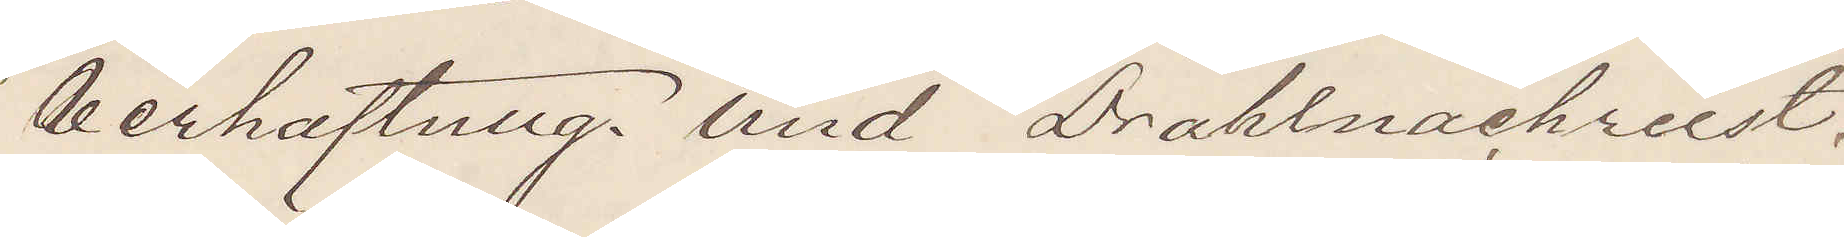Verhaftung und Drahlnachreist.
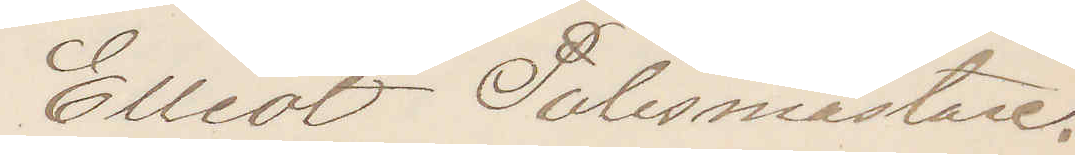Elliot Polismästare.
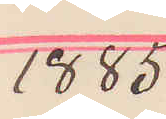1885
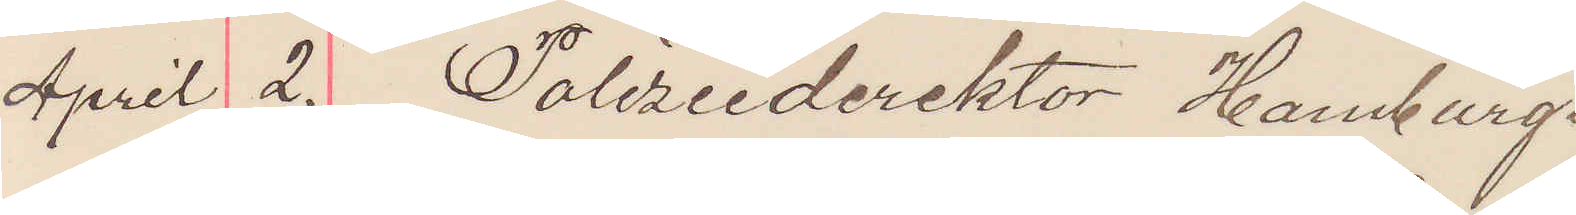April 2. Polizeiderektor Hamburg.
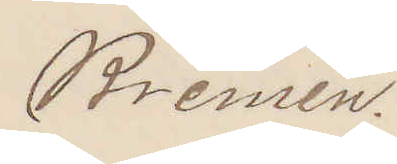Bremen.
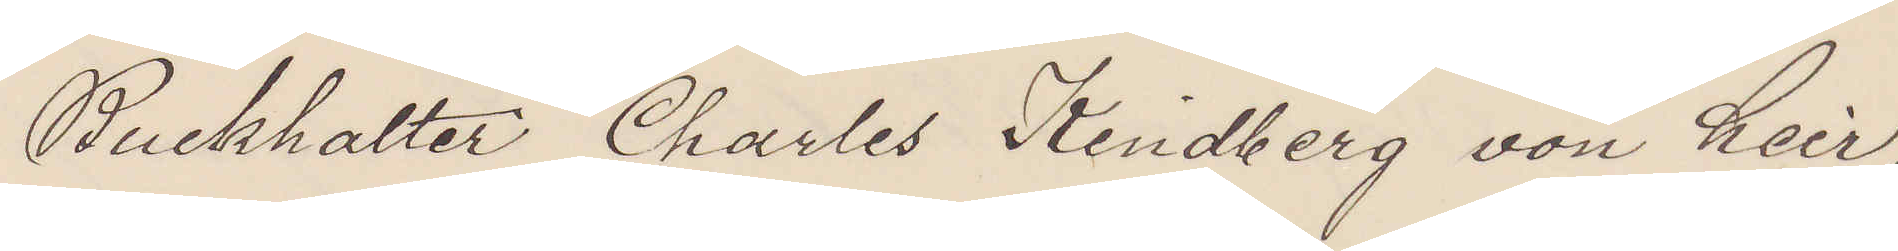Buchhalter Charles Kindberg von heir,
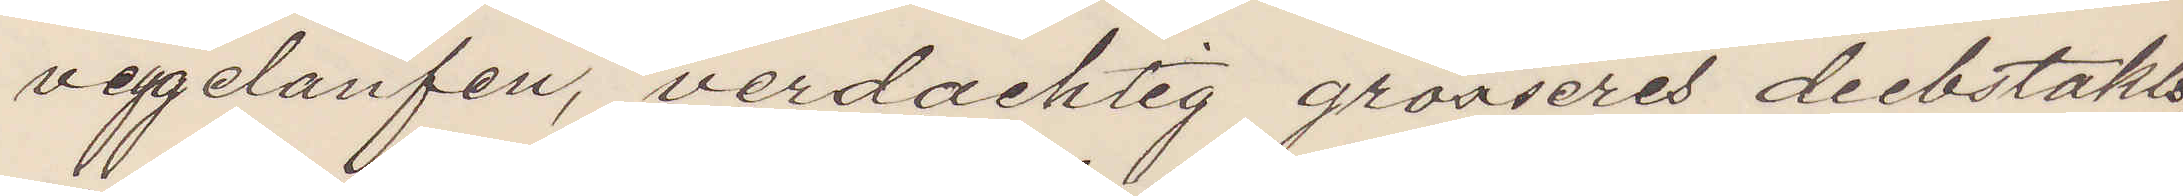veggelaufen, verdachtig grosseres diibstakls,
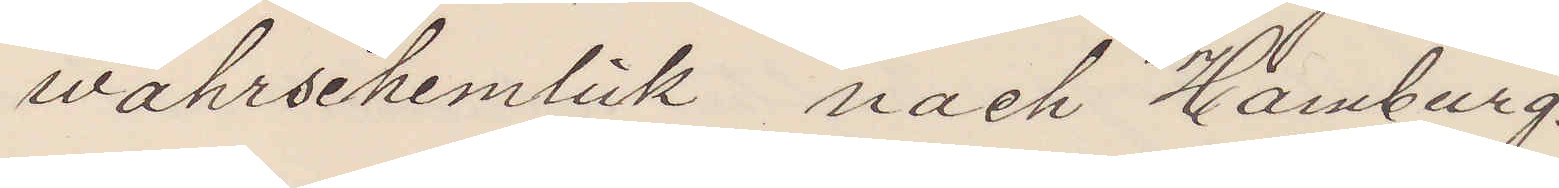wahrsehemlick nach Hamburg.
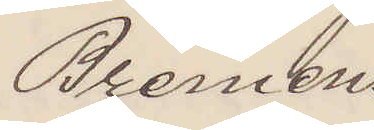Bremen.
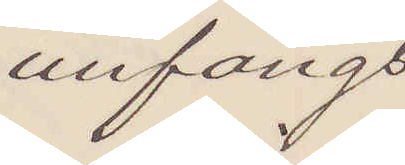unfangs
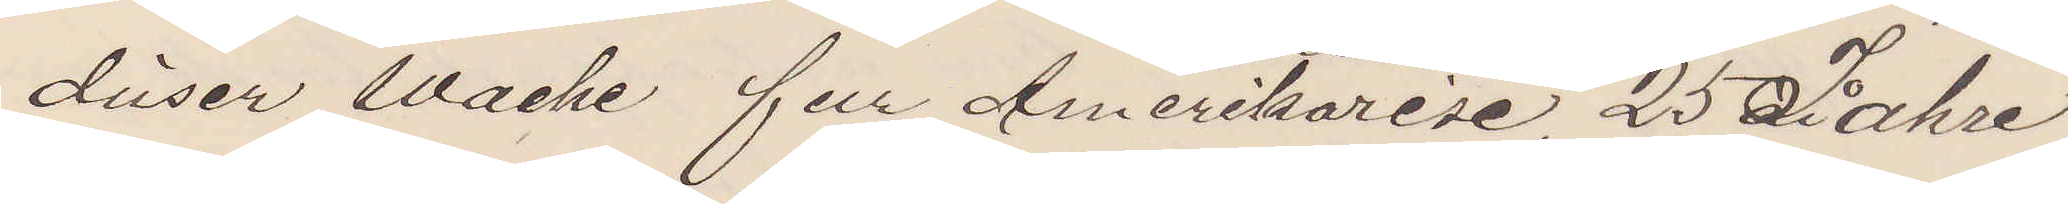dieser Woche fur Amerikareise, 25 Jahre,
